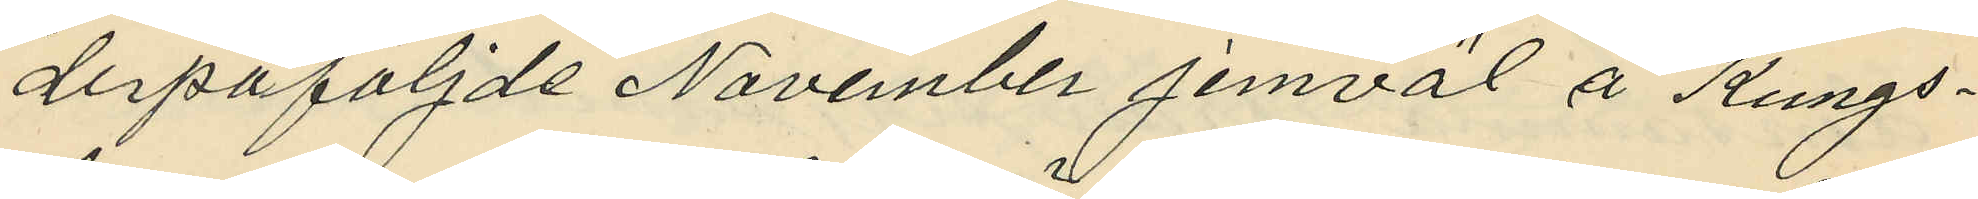derpåföljde November jemväl å Kungs¬
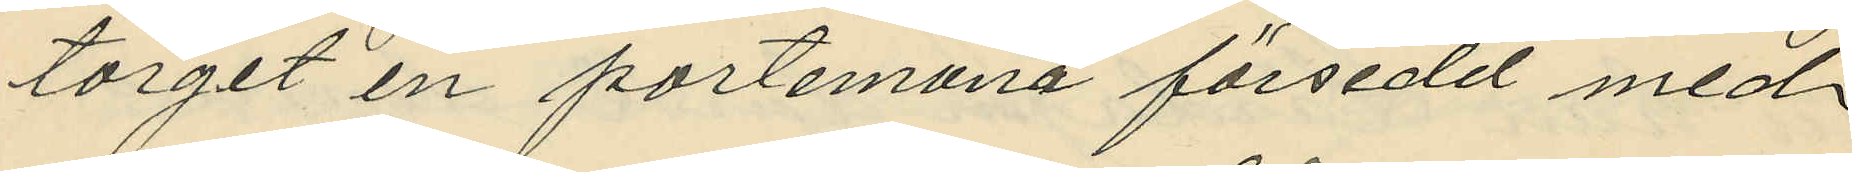torget en portemonä försedd med
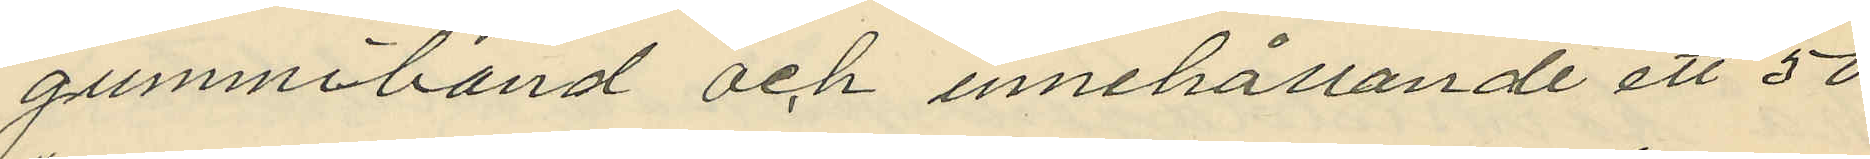gummiband och innehållande ett 50
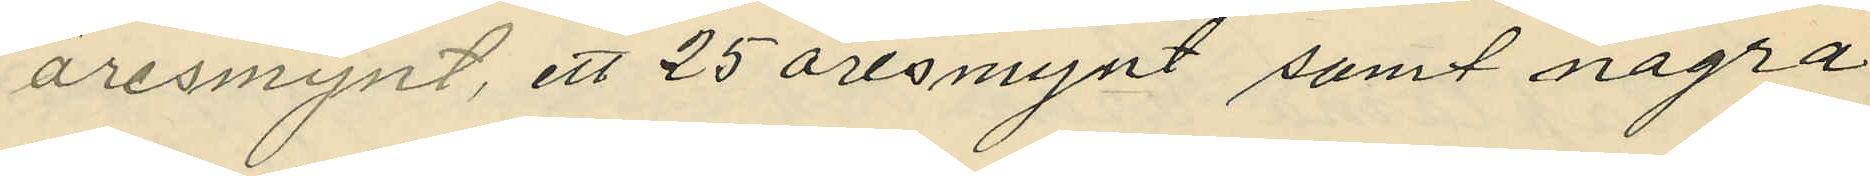öresmynt, ett 25 öresmynt samt några
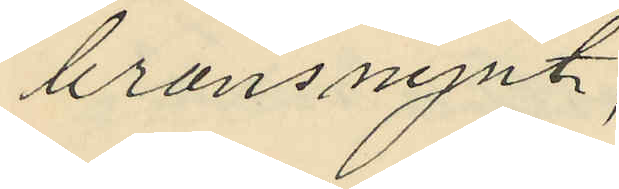bronsnynt;
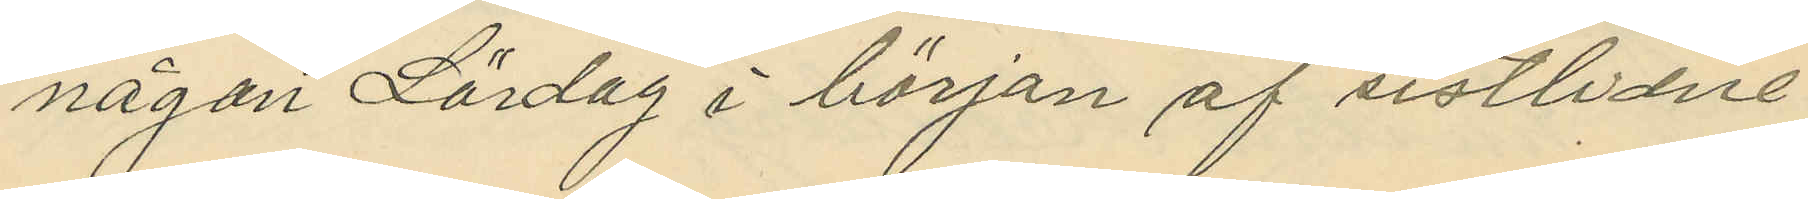någon Lördag i början af sistlidne
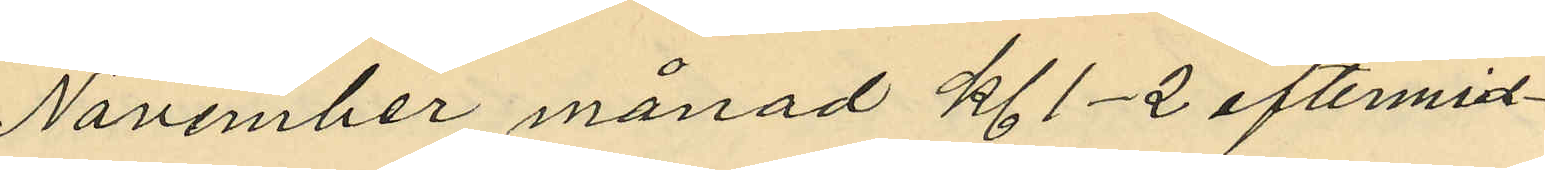November månad kl. 1-2 eftermid¬
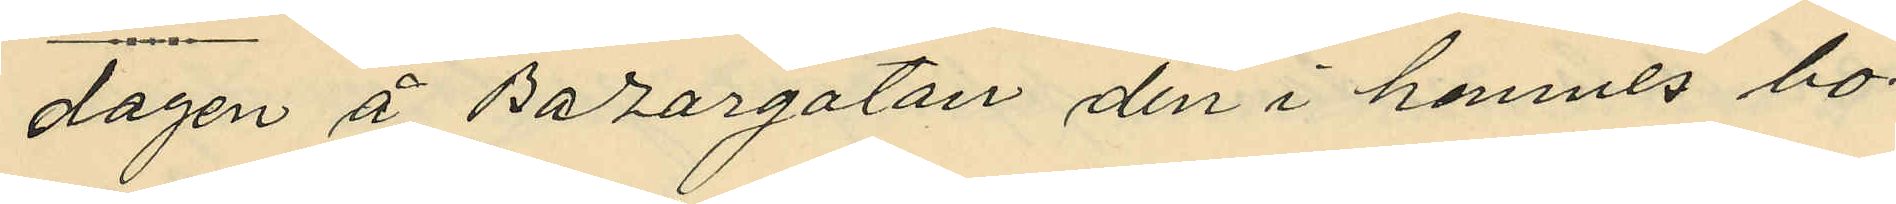dagen å Bazargatan den i henmes bo¬
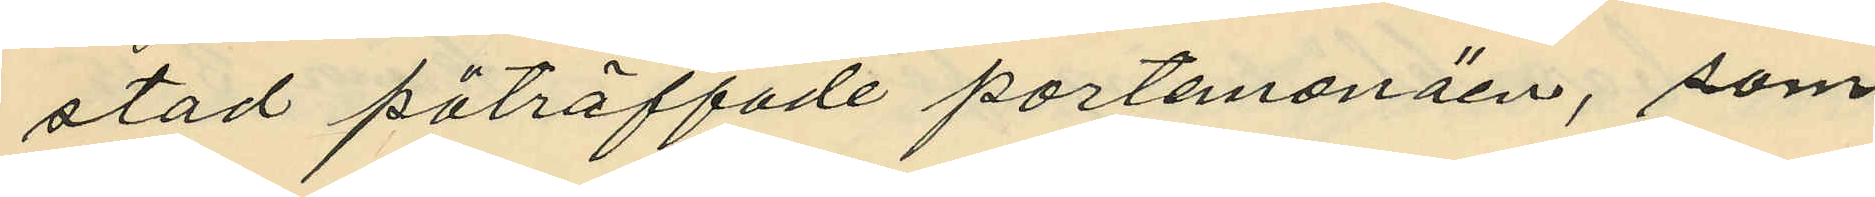stad påträffade portemonäen, som
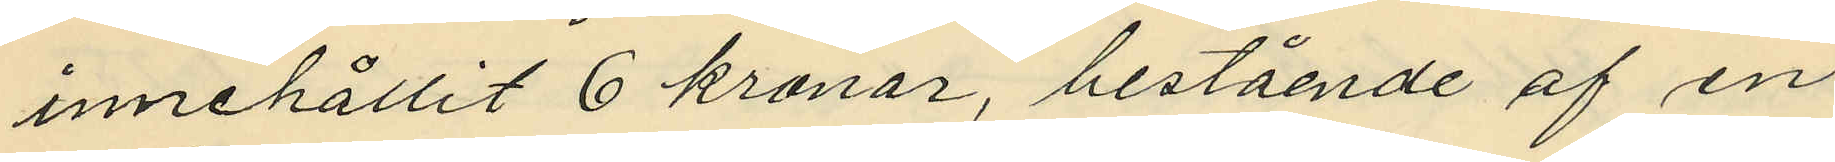innehållit 6 kronor, bestående af en
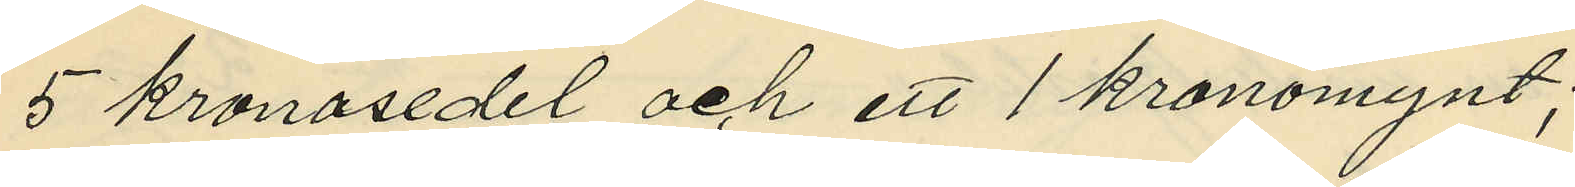5 kronosedel och ett 1 kronomynt;
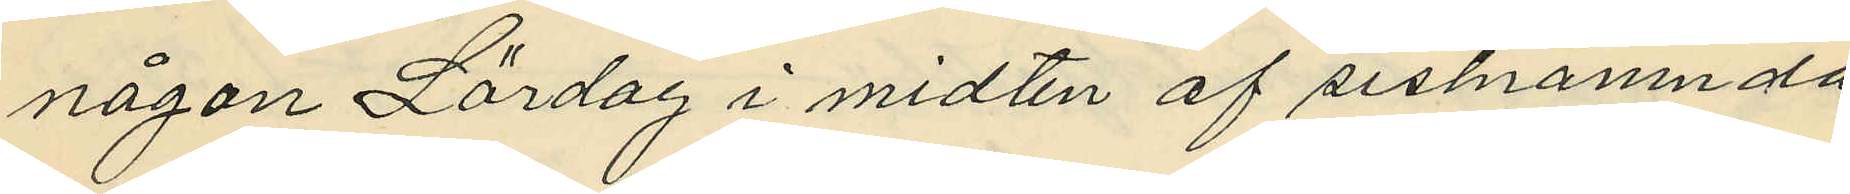någon Lördag i midten af sistnämnda
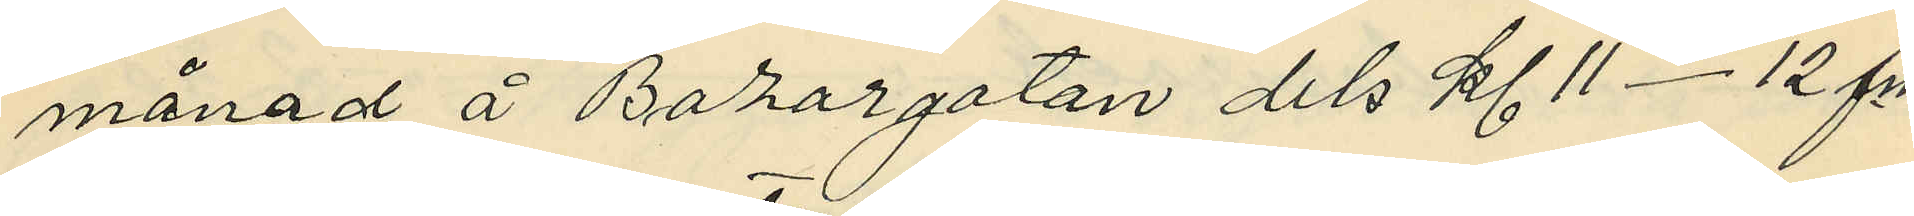månad å Bazargatan dels kl. 11-12 f.m.
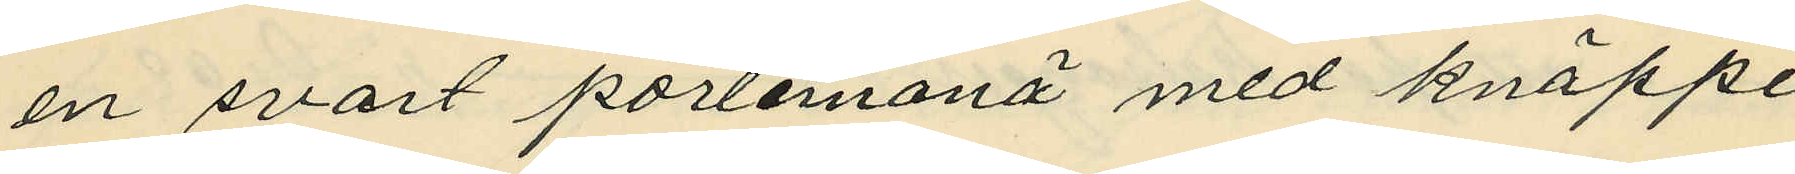en svart portemonä med knäppe
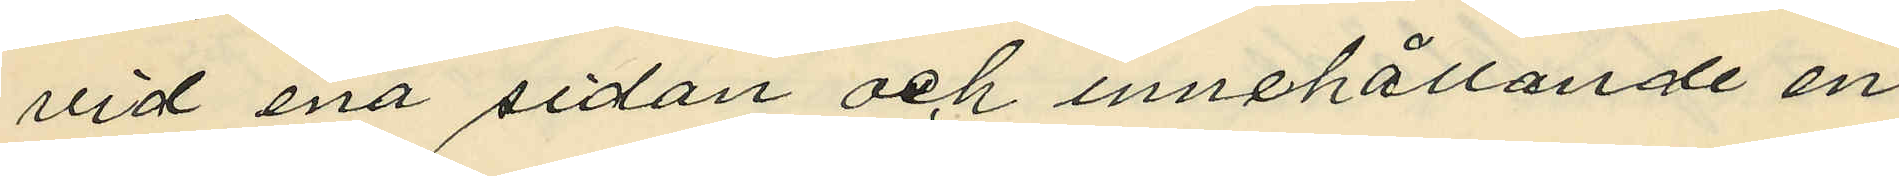vid ena sidan och innehållande en
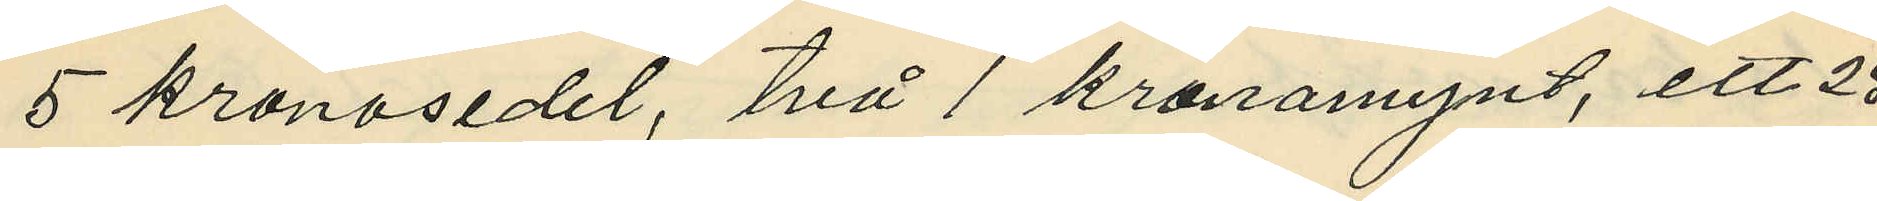5 kronosedel, två 1 kronomynt, ett 25
